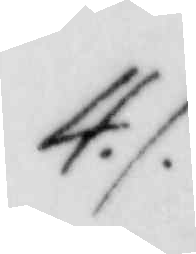4./.
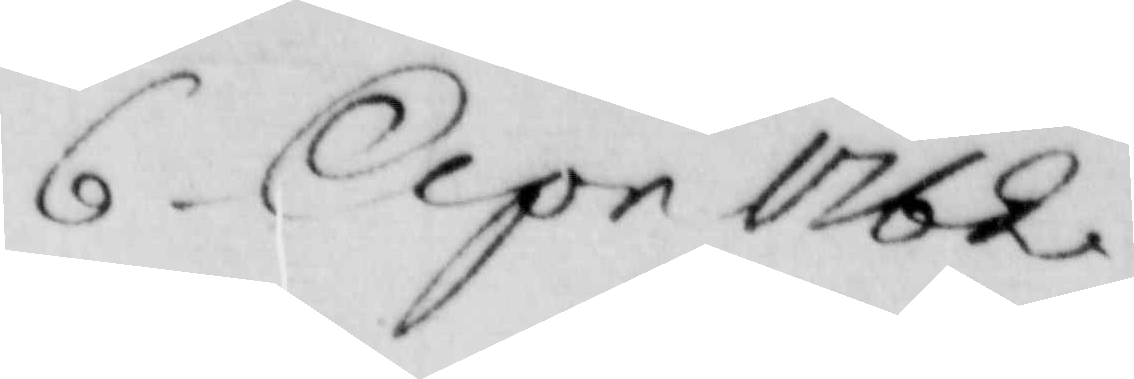6 Apr 1762
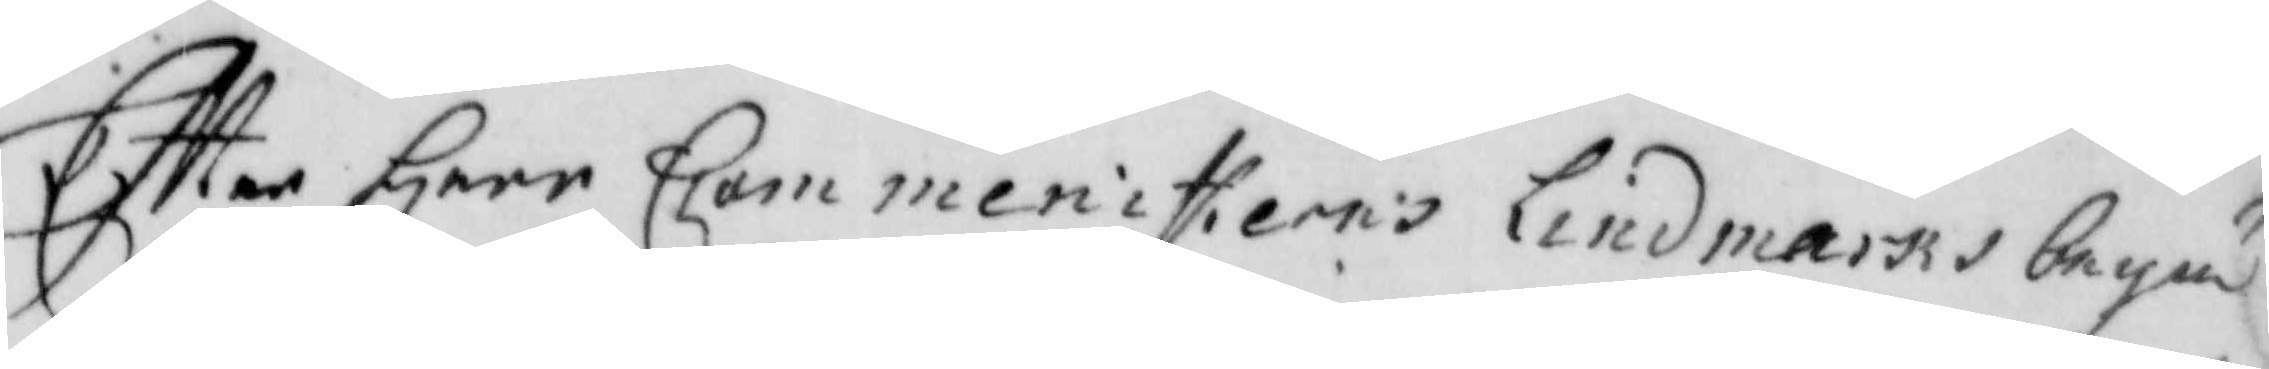Eftter Herr Commenisterns Lindmarks begä
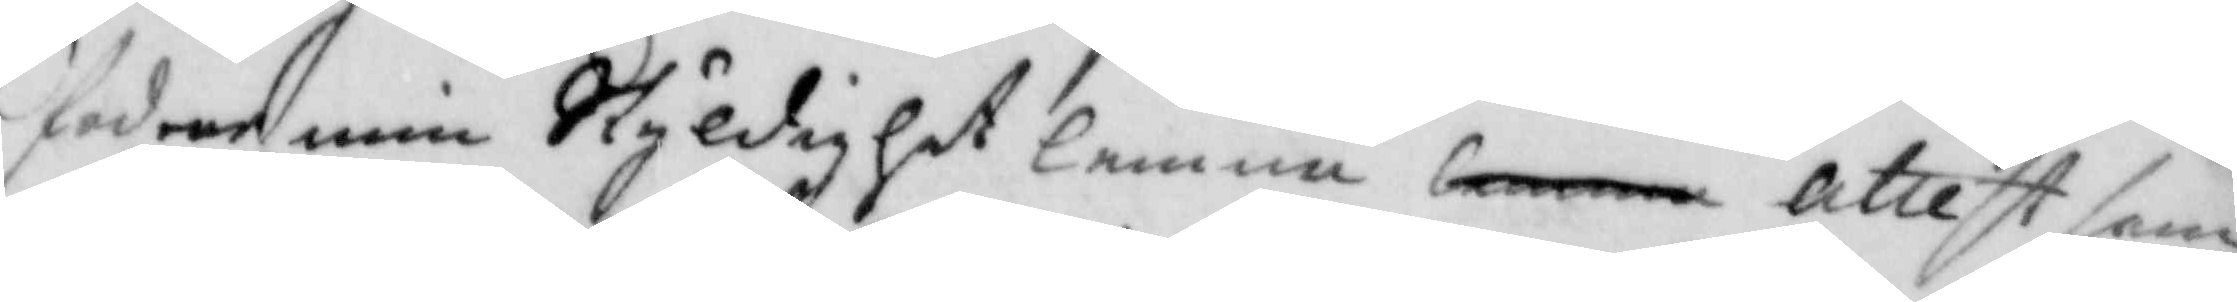fodrar min skyldighet lemna lemna attest som
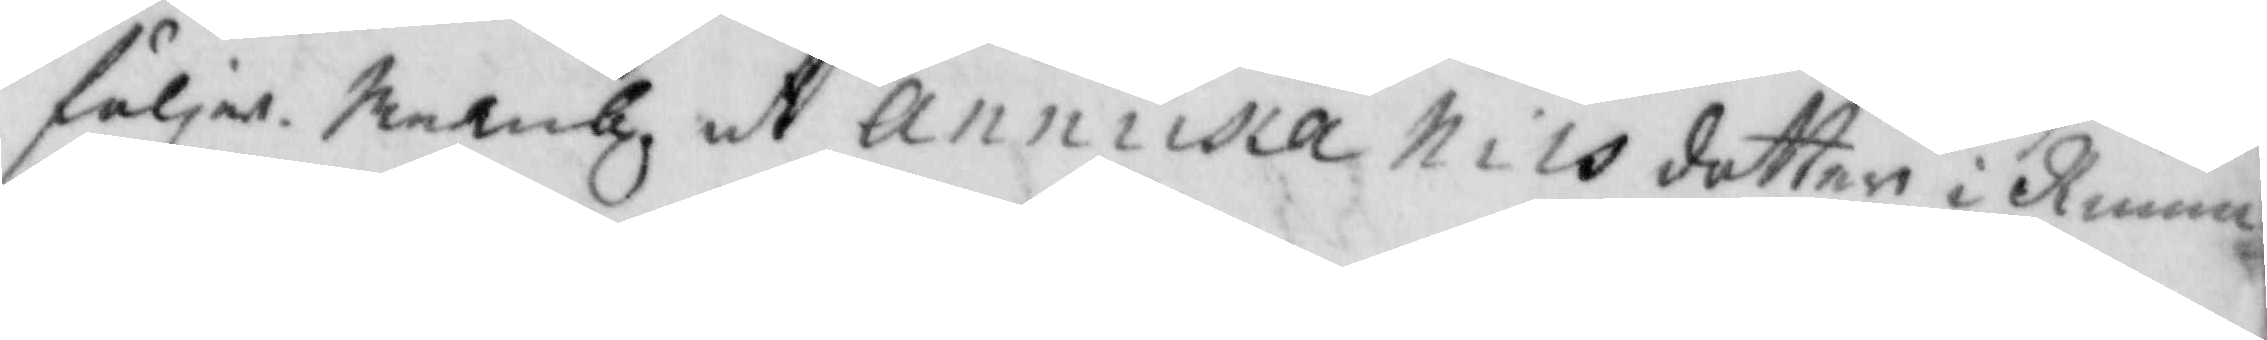följer, Neml. at annika nilsdotter i Kinna
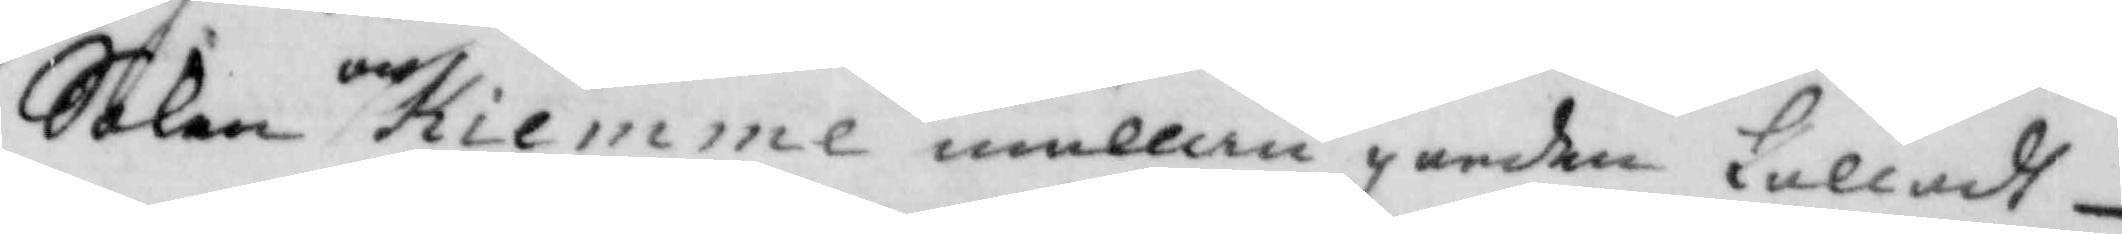Soken och Kiemme mällan garden kalladt
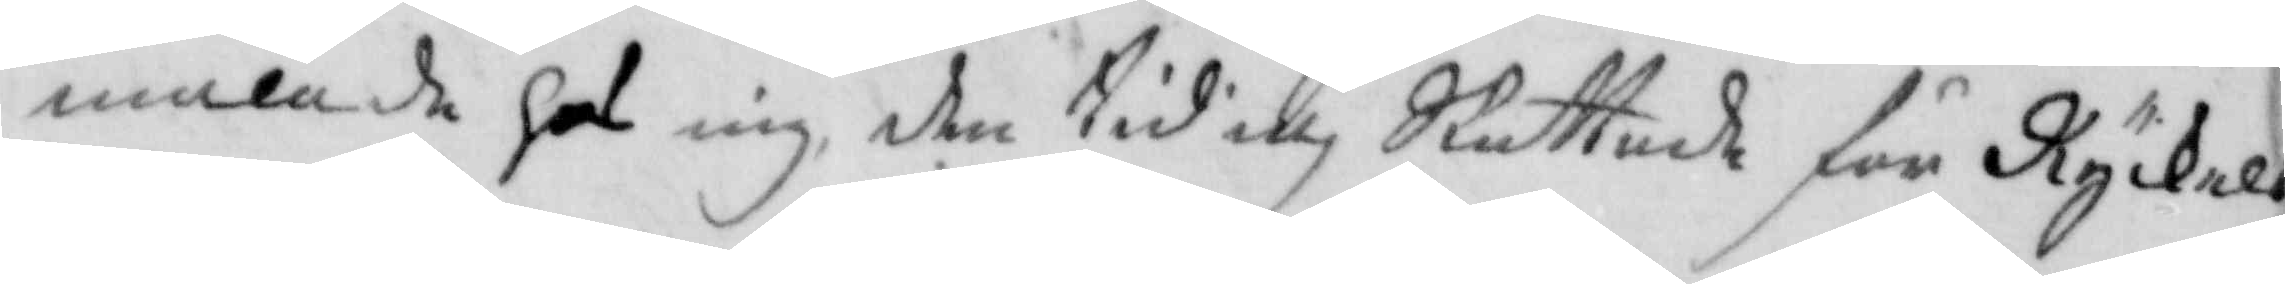malade hos mig den tid och skattade för Kyckels
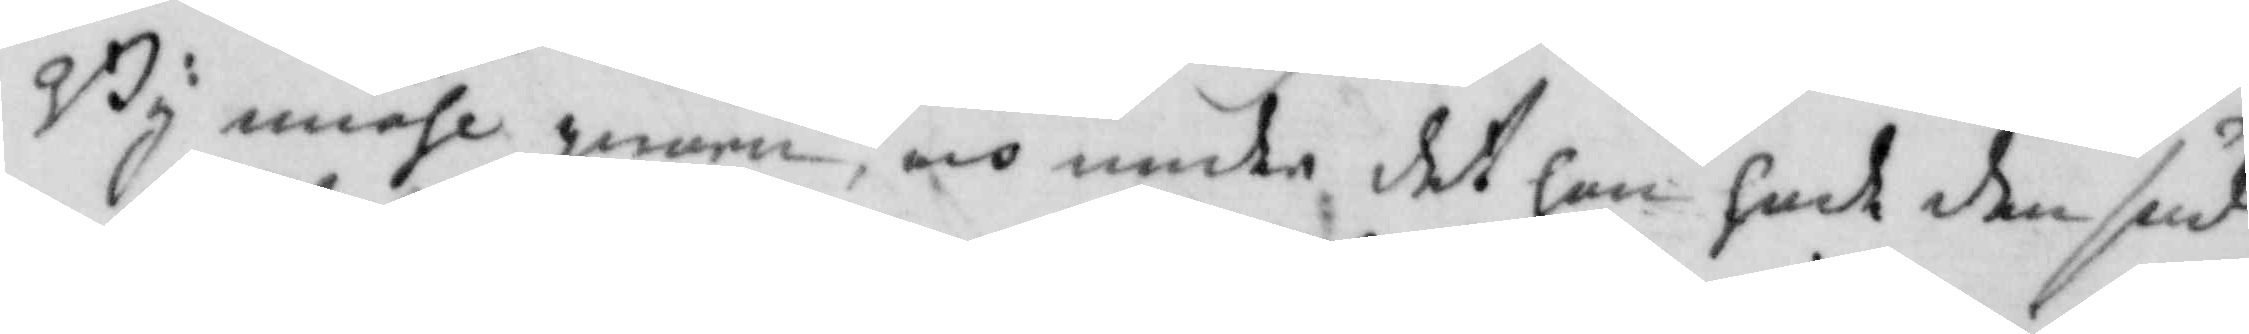By miöhl qwarn, och under det hon hade den sud
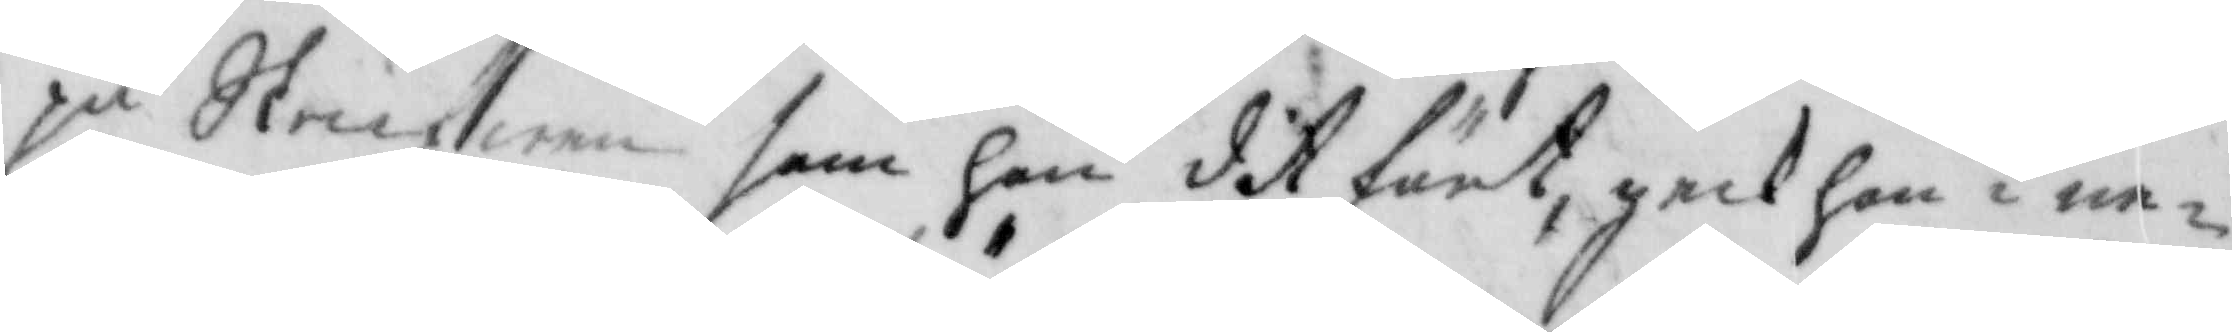på Skrufwen som hon dit fört, geck hon i ne¬
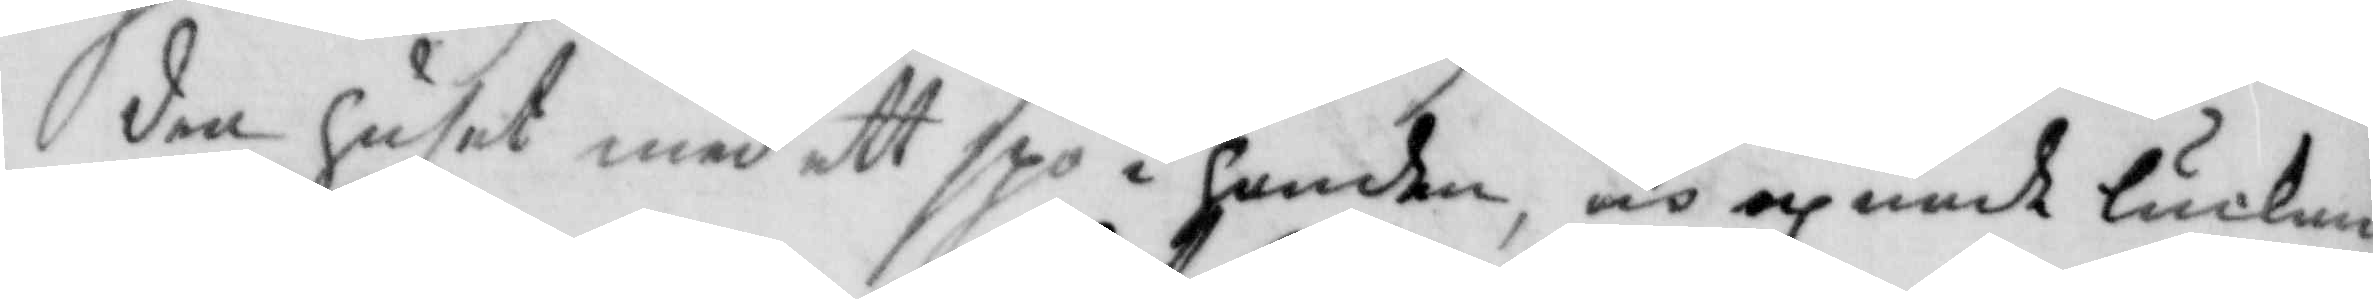dan huset med ett spö i handen, och öpnade luckan
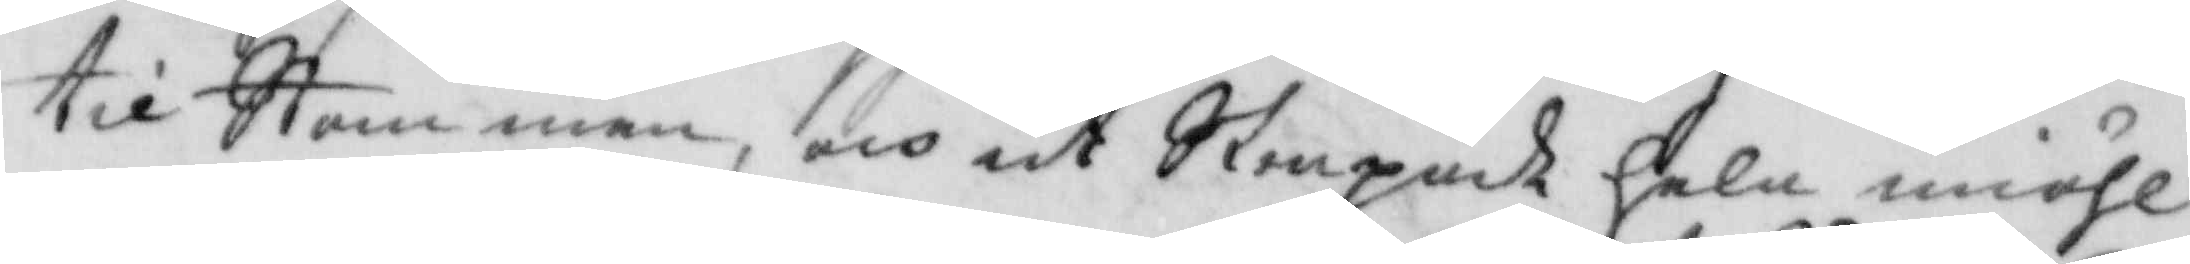till Stamman, och ut Skrapade hela miöhl¬
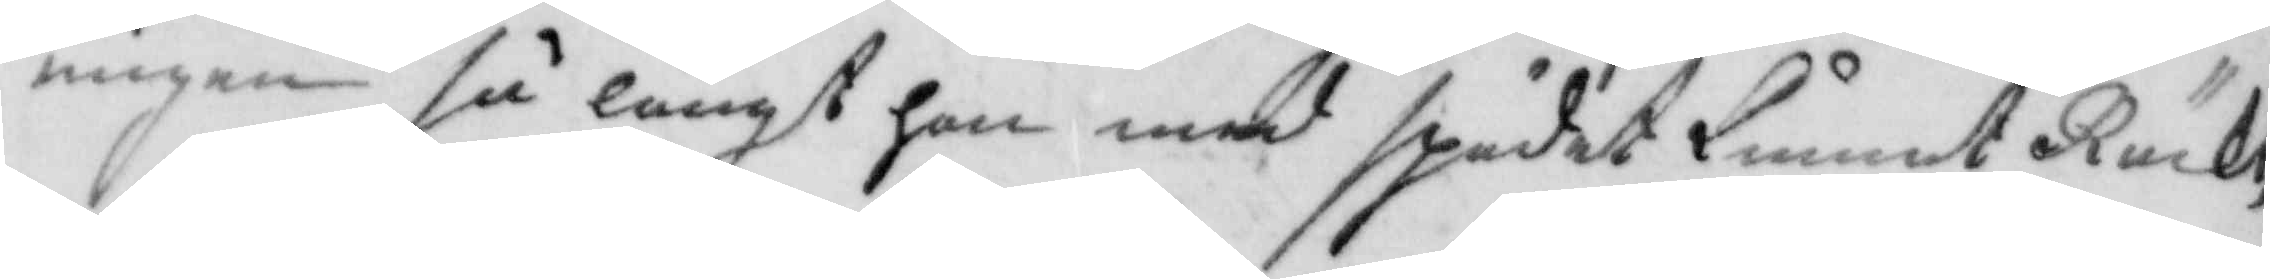ningen så långt hon med spudet kunnat Räckt,
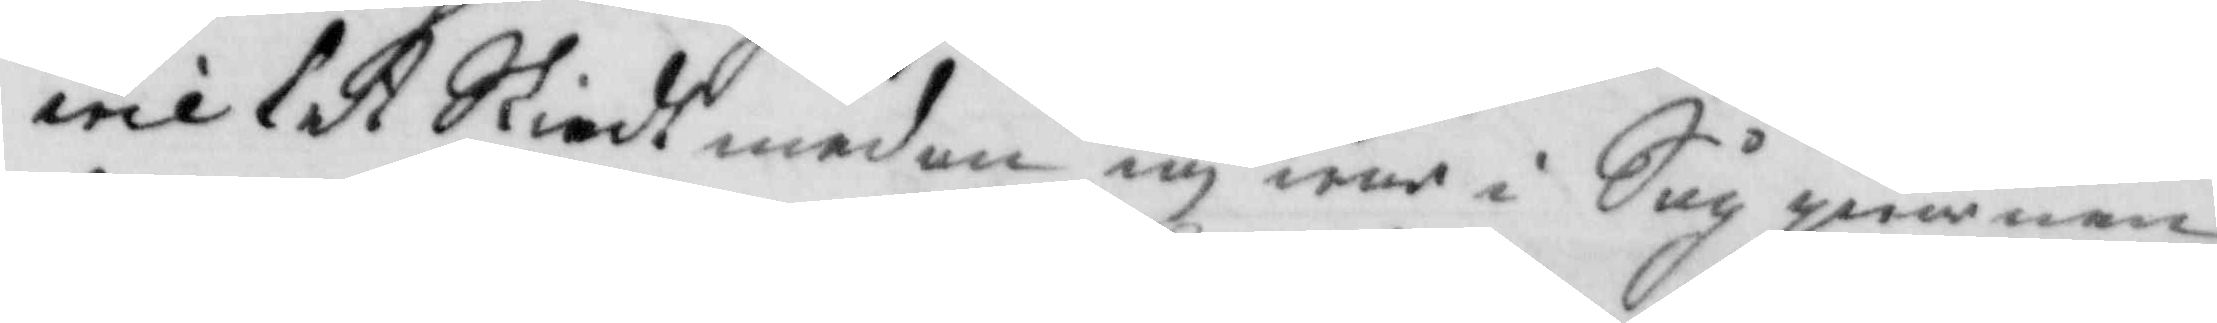wilket Skiedt med an iag war i Sågqwarnen
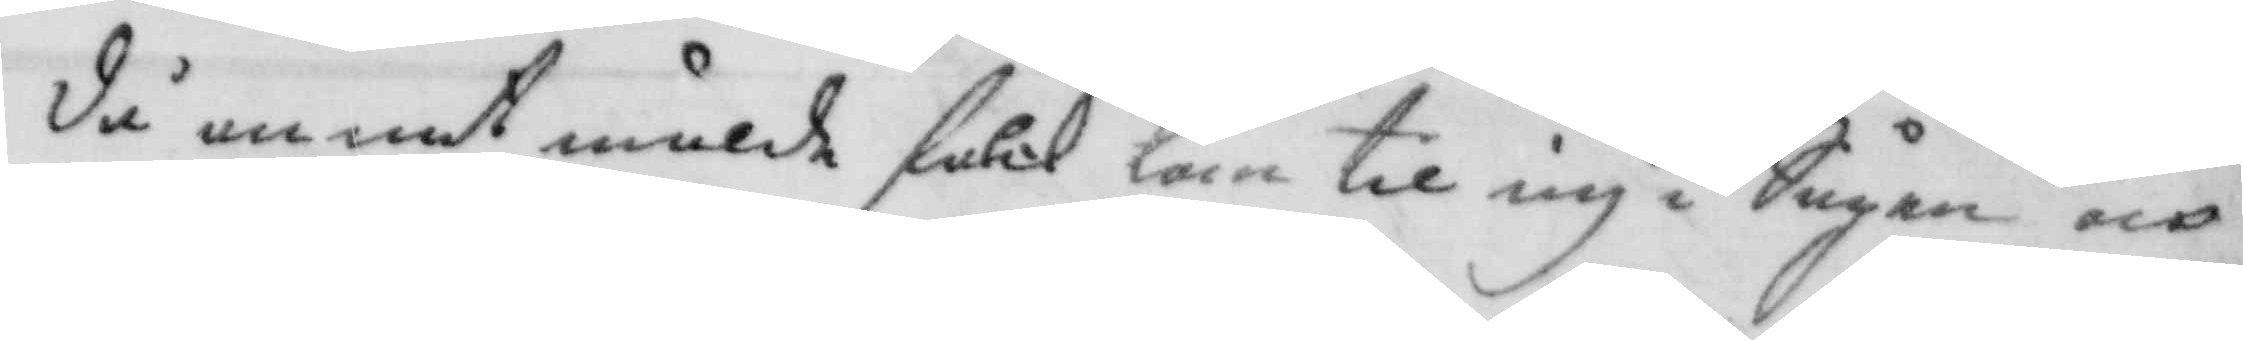då annat mälde folck kom til iag i Sågen och 
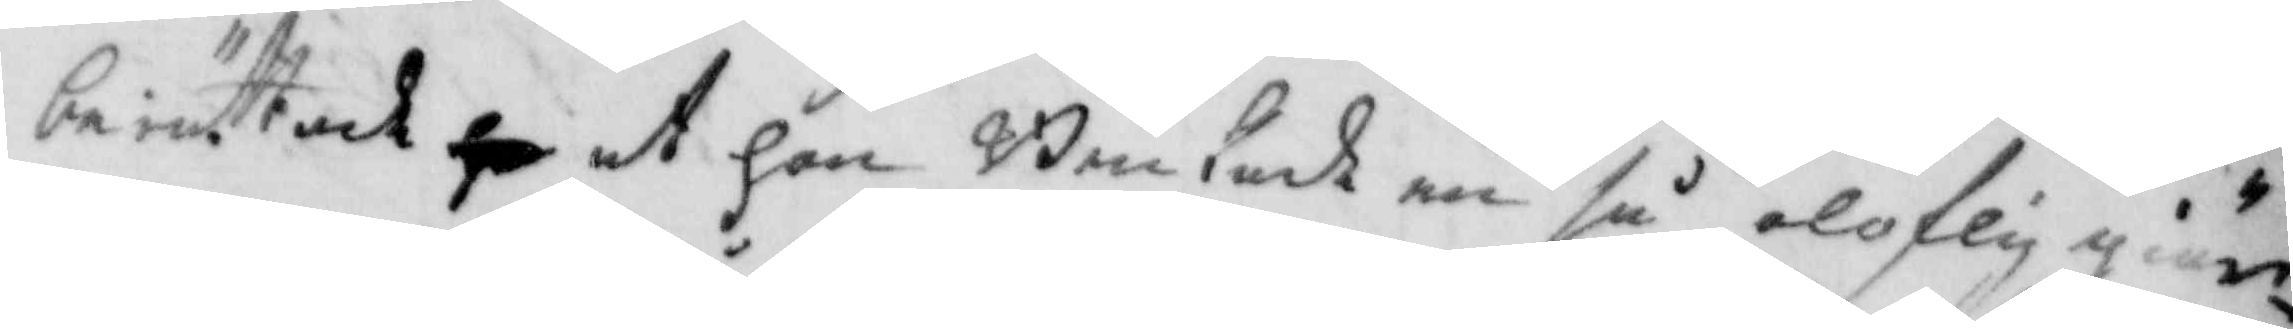berättade at hon Brukade en så oloflig giär¬
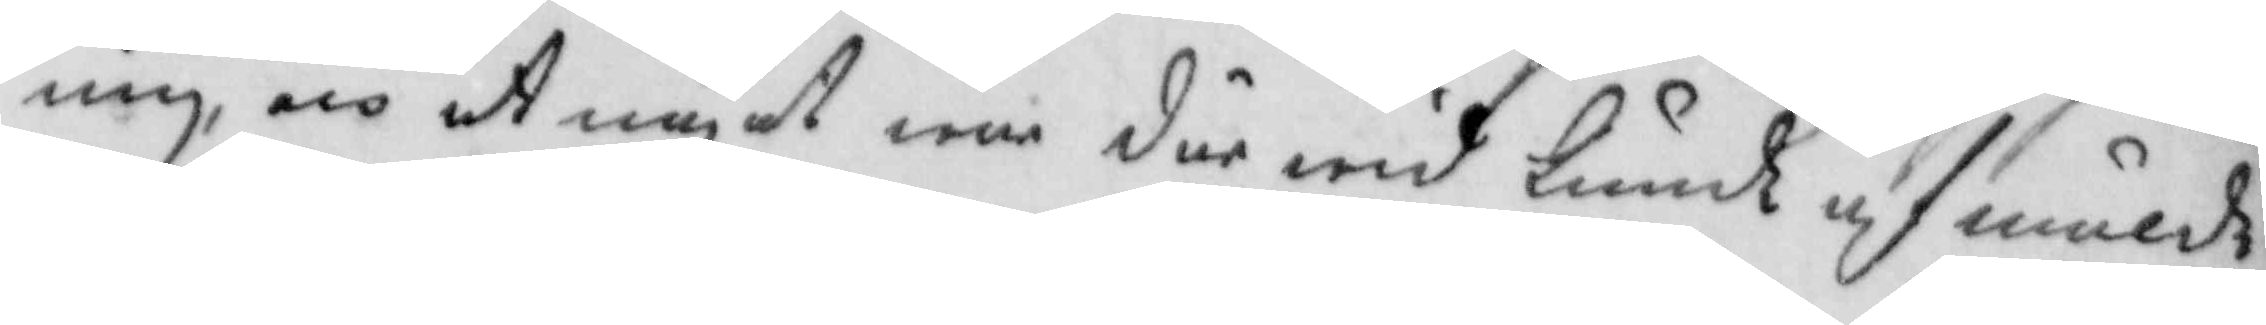ning, och at något war där wid kunde af mälde
